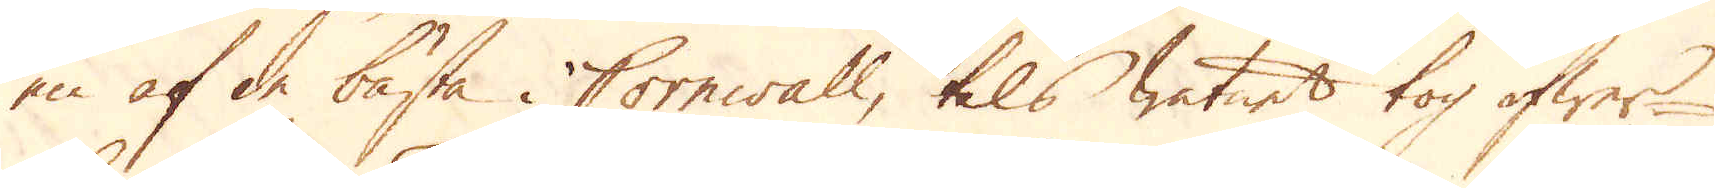en af de bästa i Cornwall, tils watnet tog öfwer
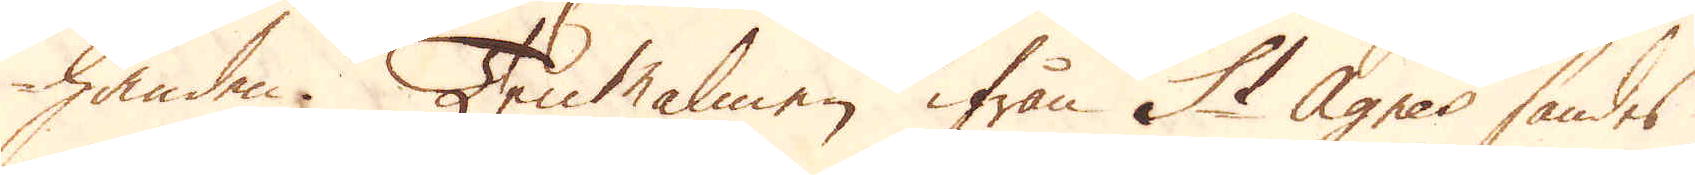handen. TenMalmen ifrån St Agnes sändes
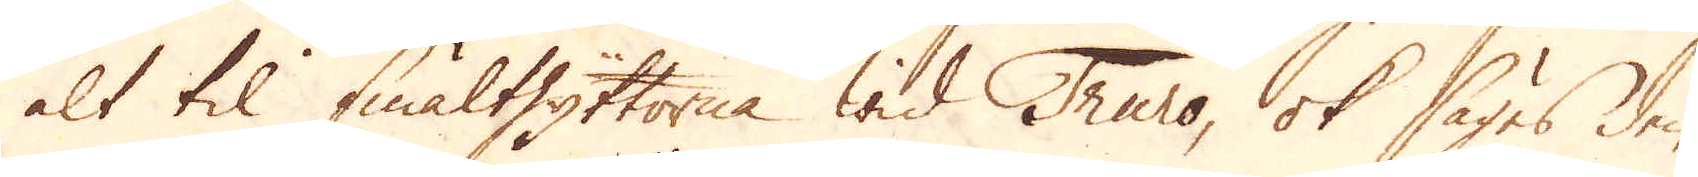alt til smälthyttorna wid Truro, ok säges den-
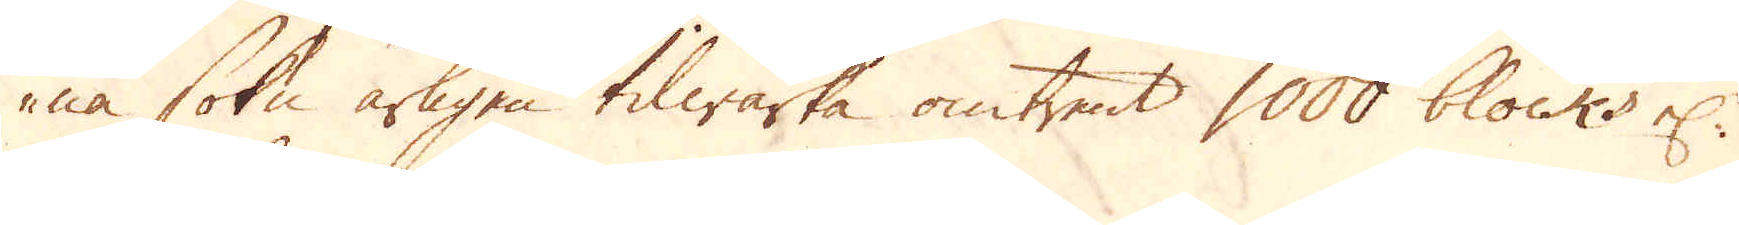na sokn årligen tilwärka omtrent 1000 blocks el:r
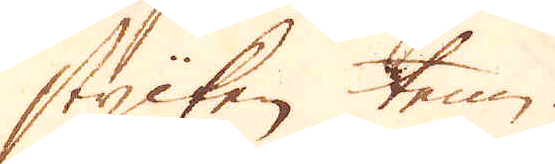stycken tenn.
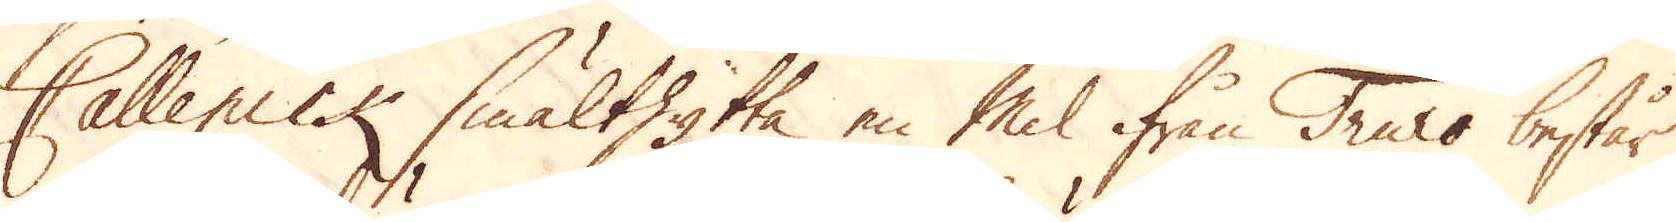Callenick smälthytta en Mil ifrån Truro består
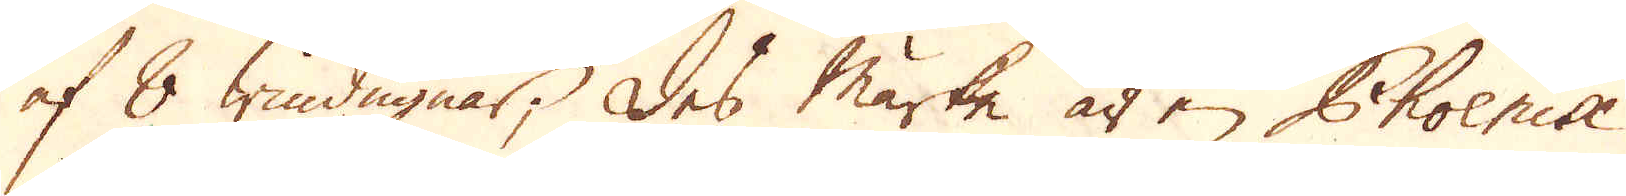af 8 windugnar; Des märke är en Phoenix
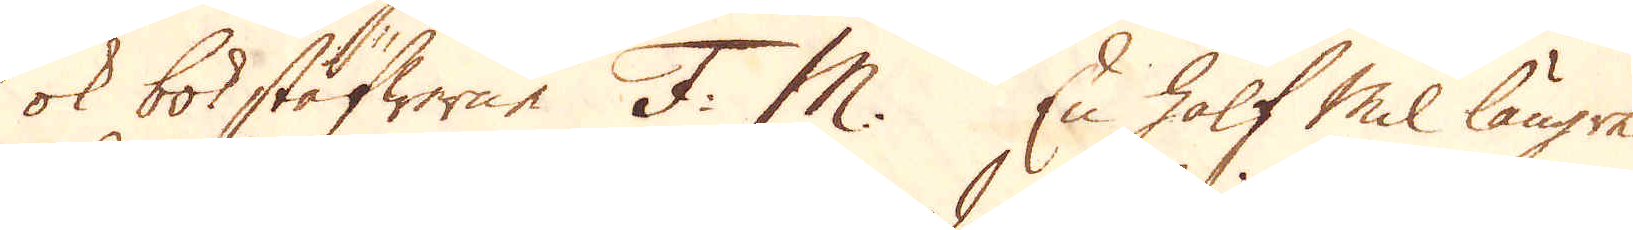ok bokstäfwer F. M. En half Mil längre
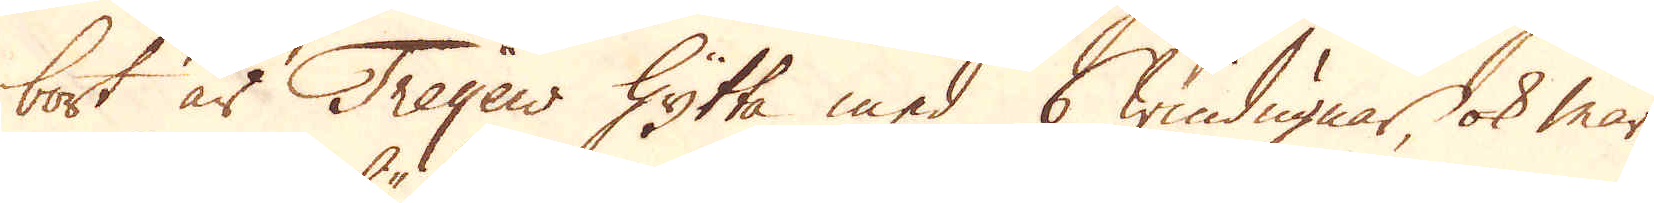bort är Treyew Hytta med 6 windugnar ok mär-
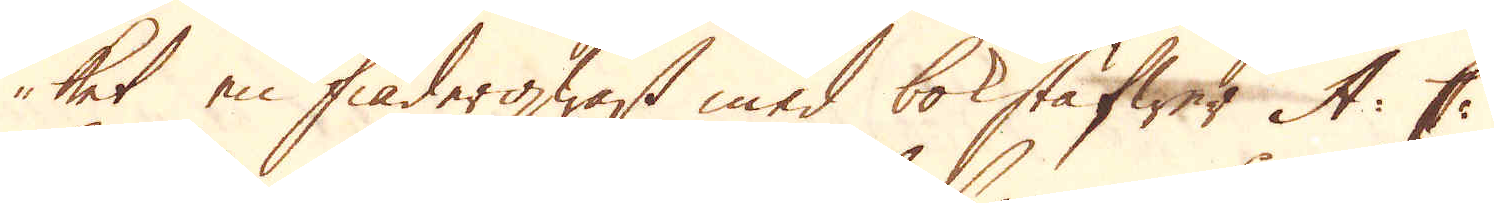ket en fiäderqwast med bokstäfwer A: C:
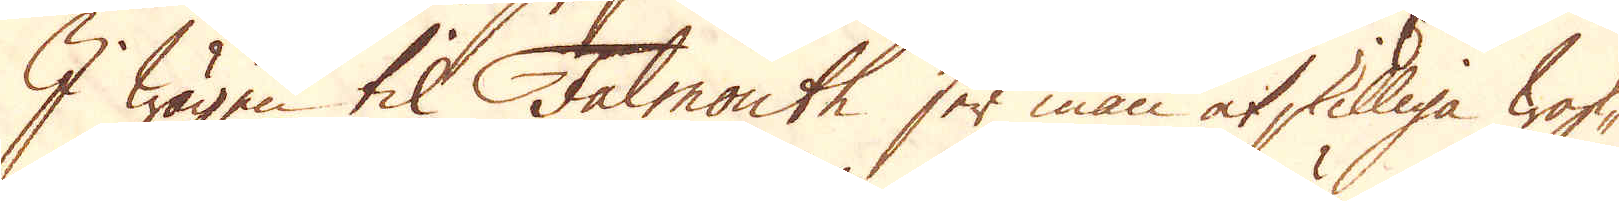I wägen til Falmouth ser man åtskilliga wask-
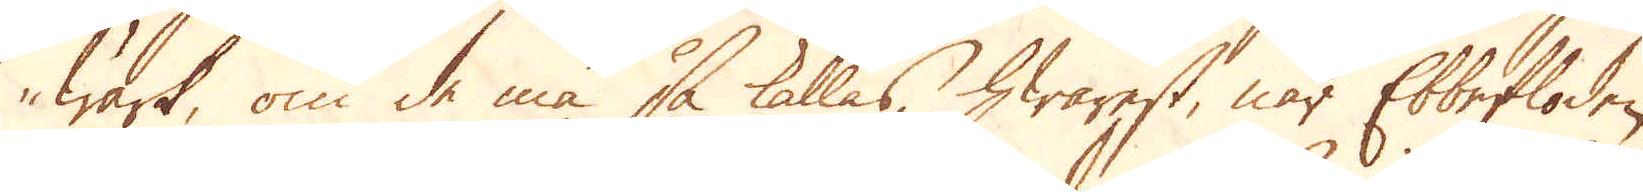wärk, om de må så kallas, hwarest, när Ebbefloden
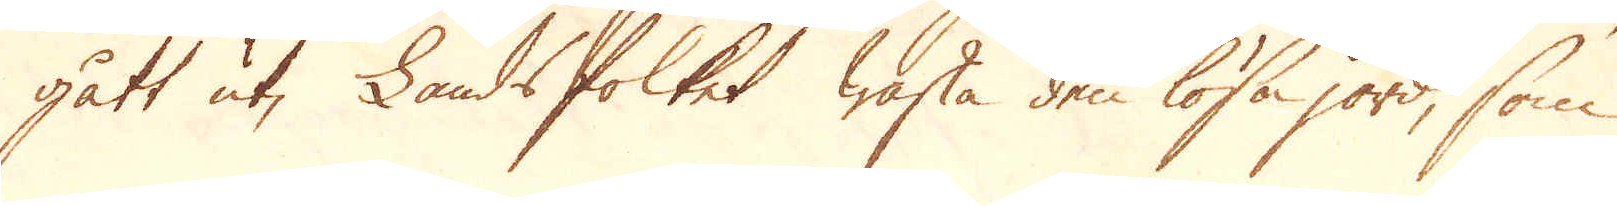gått ut, Landsfolket waska den lösa jord, som
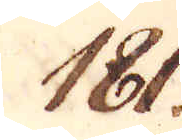181.
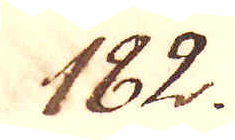182.
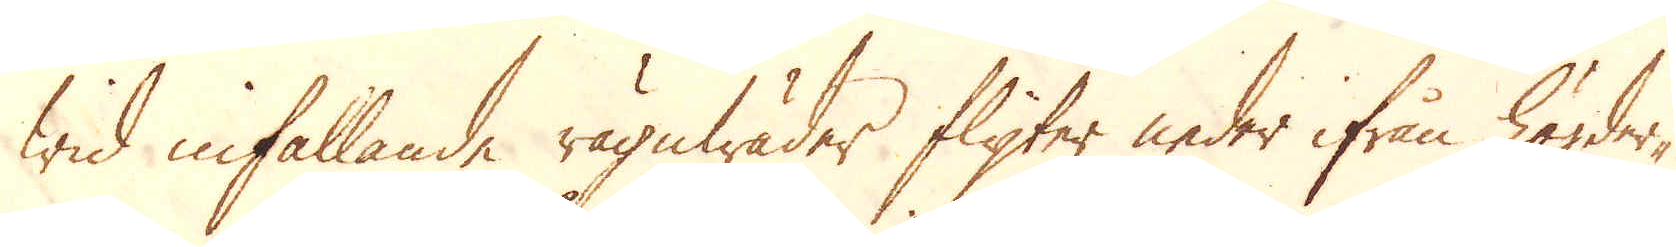wid infallande rägnwäder flyter neder ifrån högder-
